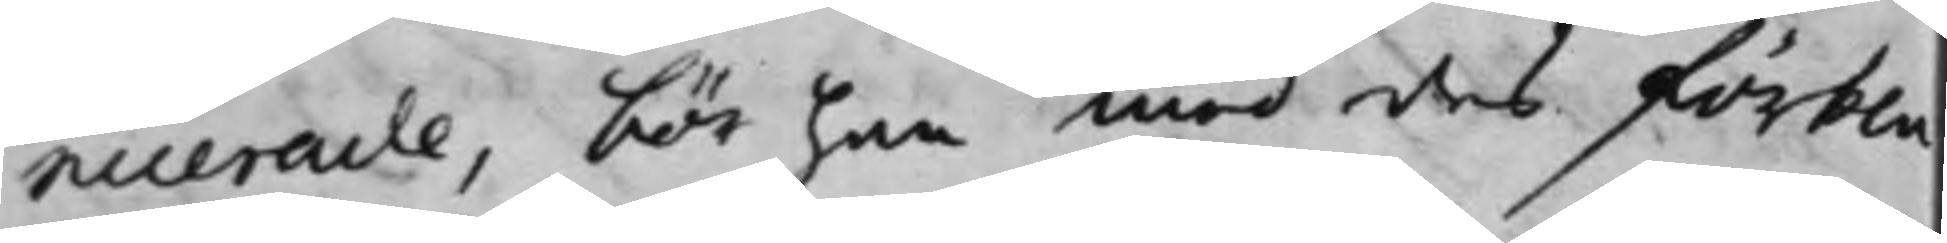nicerade, bör han med des förkla¬
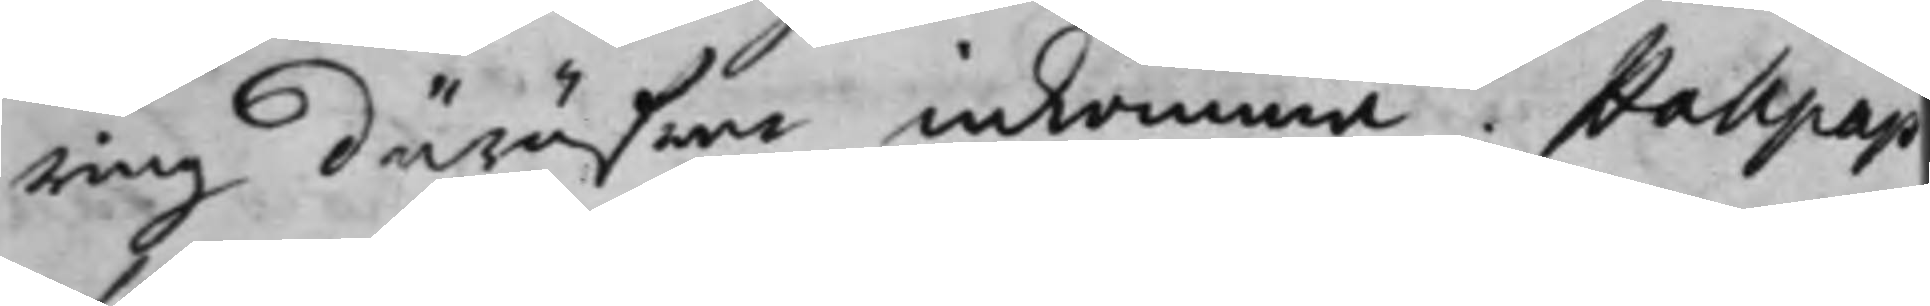ring däröfwer inkomma. Hallpap
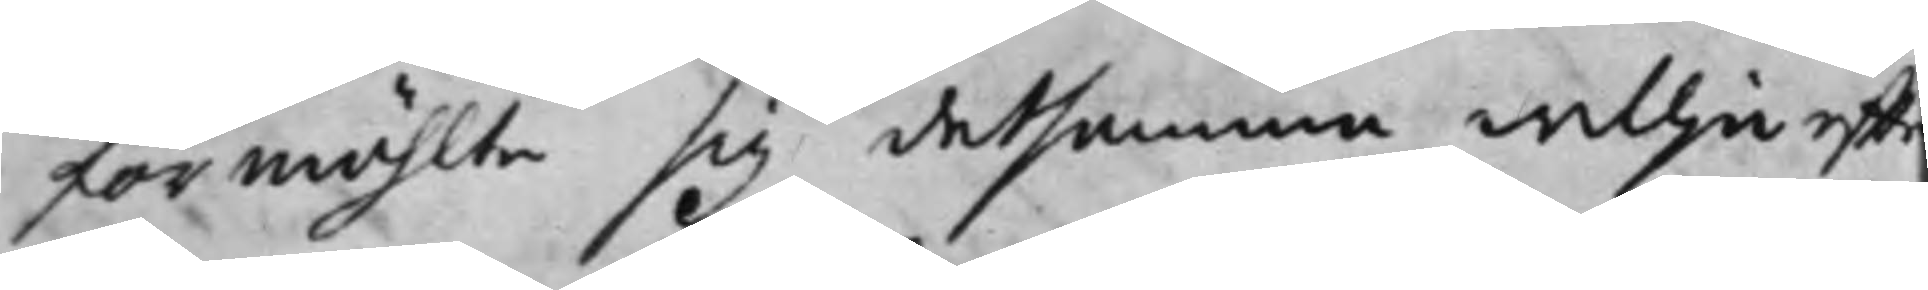förmählte sig detsamma willja efft¬
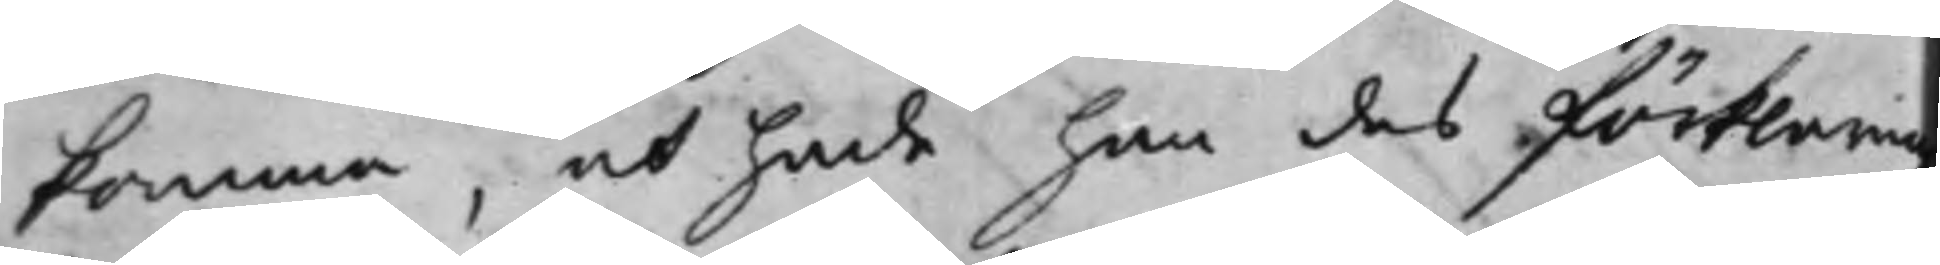komma, och hade han des förklaring
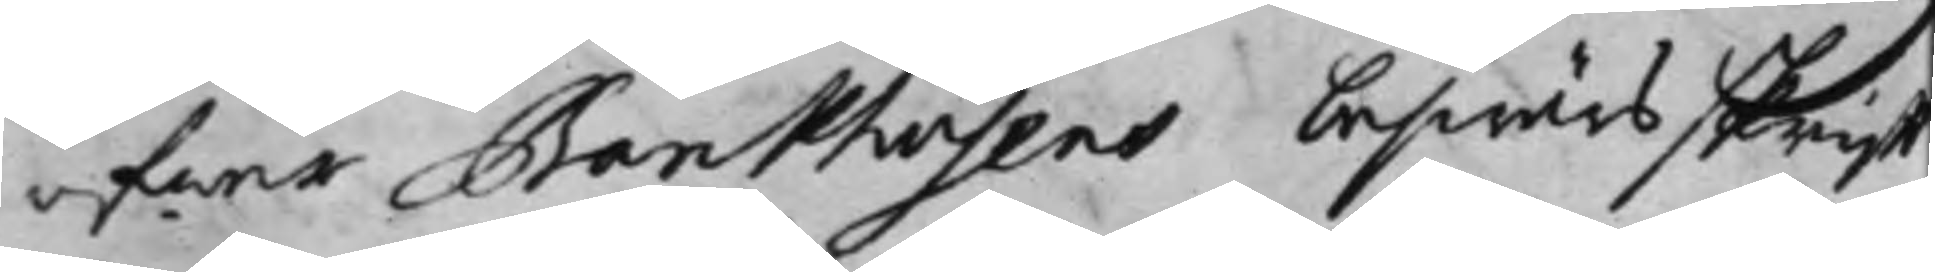öfwer Barkhusens beswärsskrifft
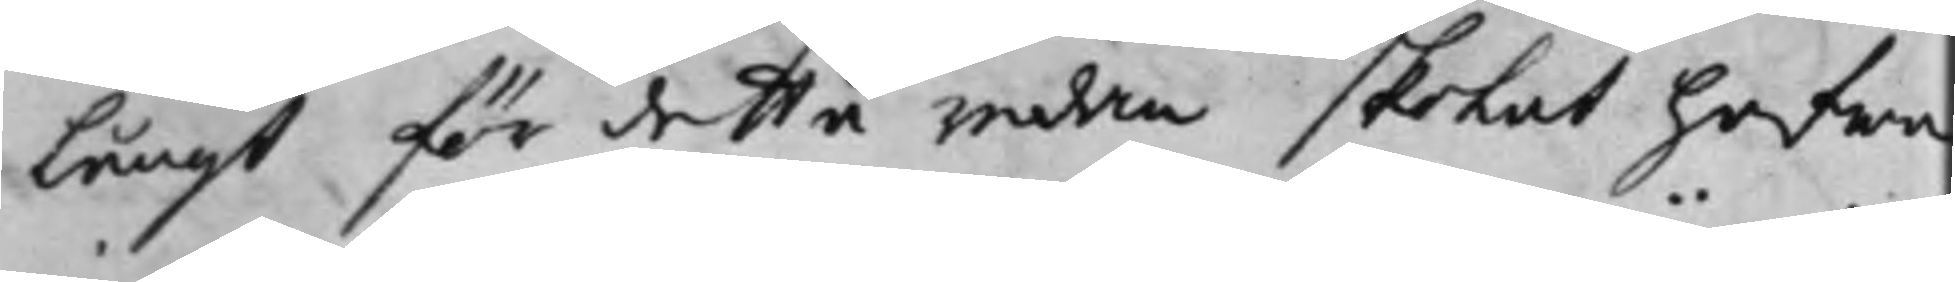Långt för detta redan skolat hafwa
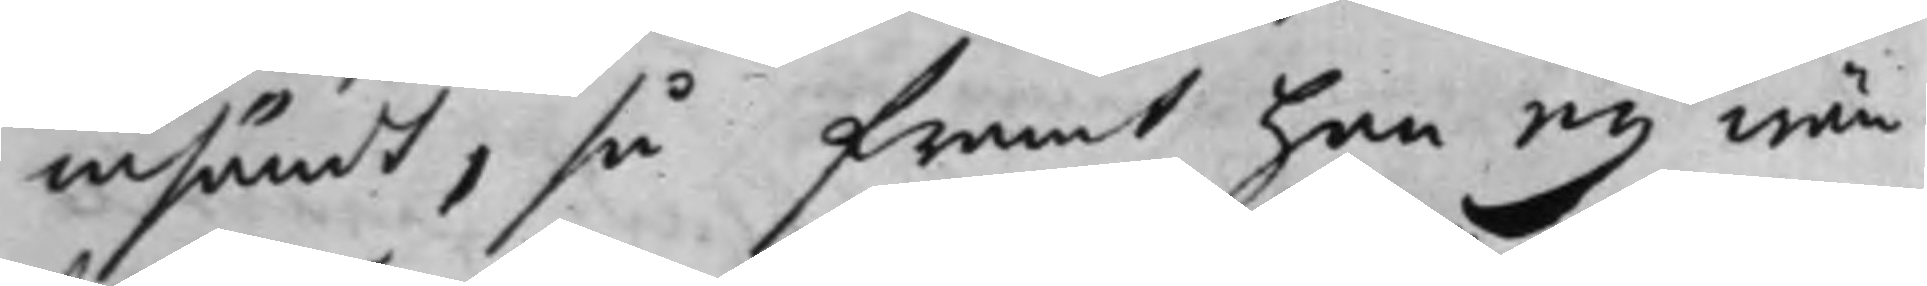insändt, så framt han ey wän¬
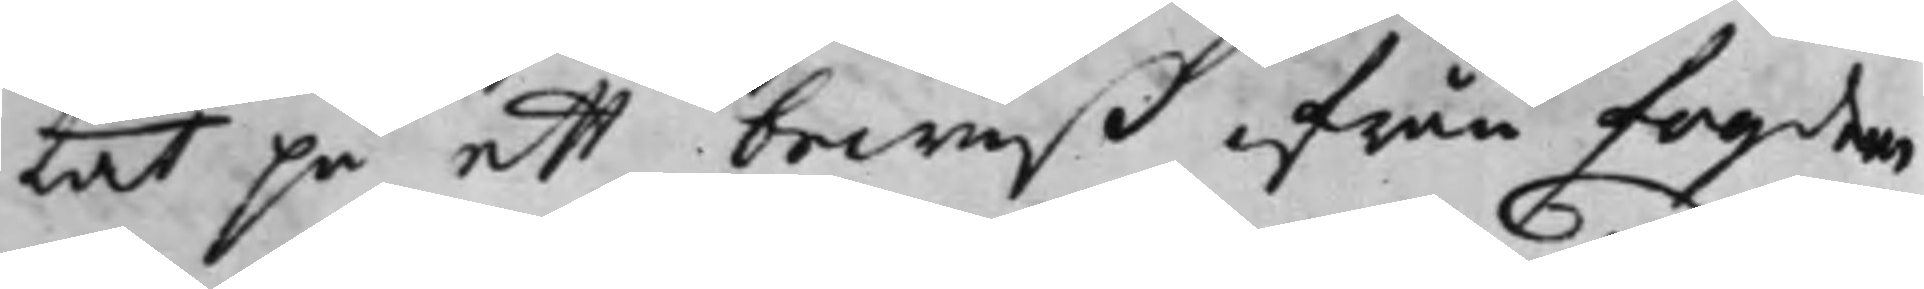tat på ett bewiß ifrån fogden
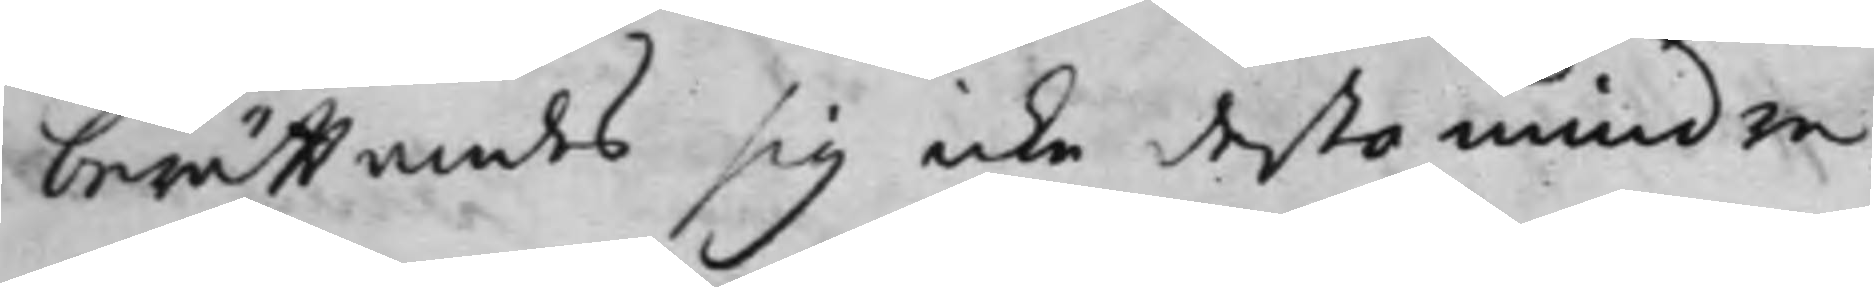berättandes sig icke desto mindre
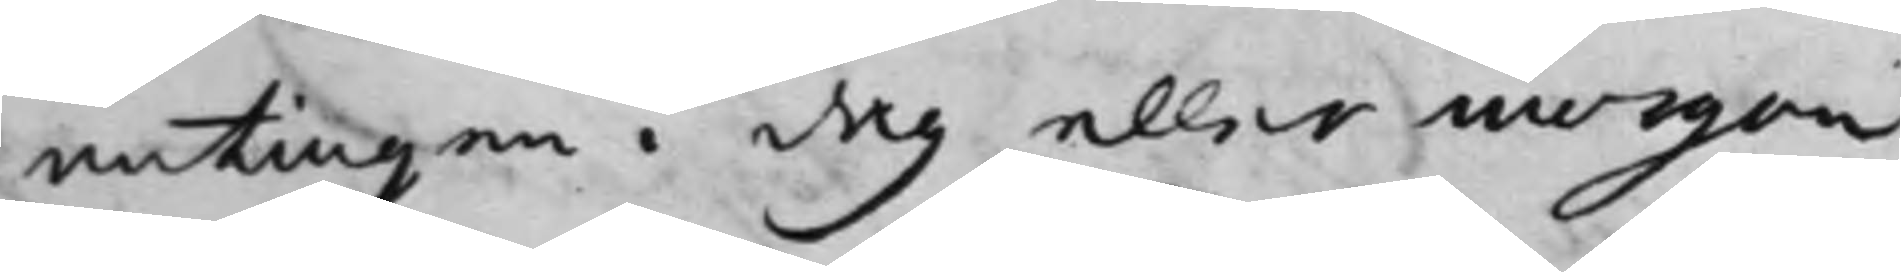antingen i dag eller morgon
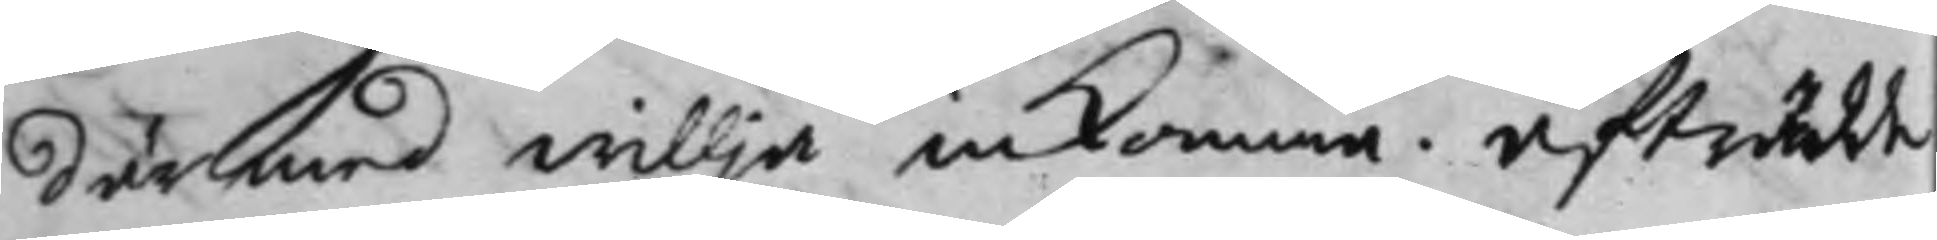därmed willja inkomma. afträdde
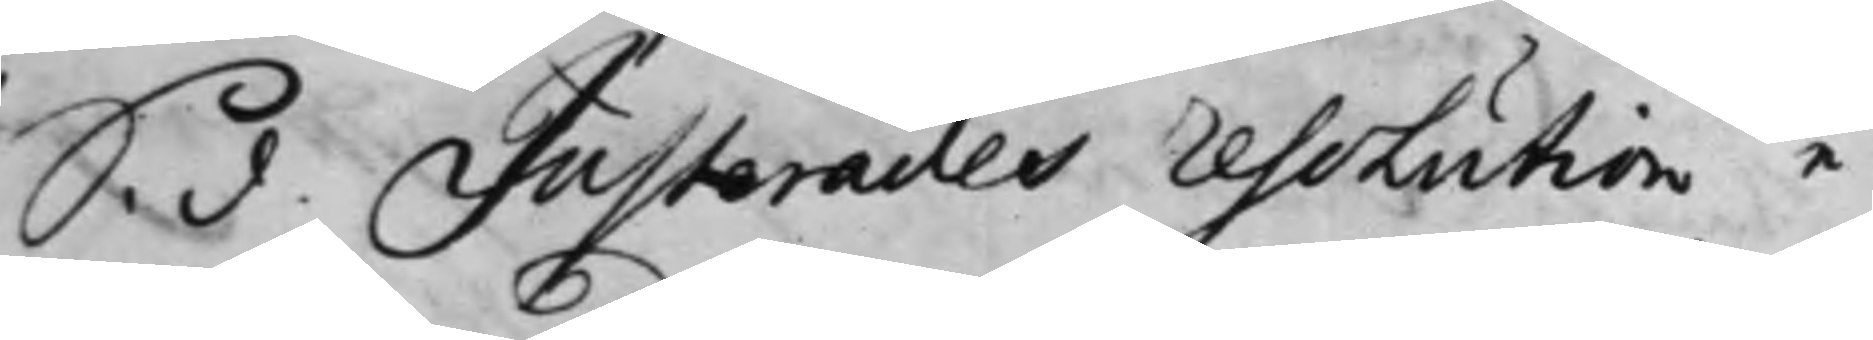S. d. Justerades resolution e¬
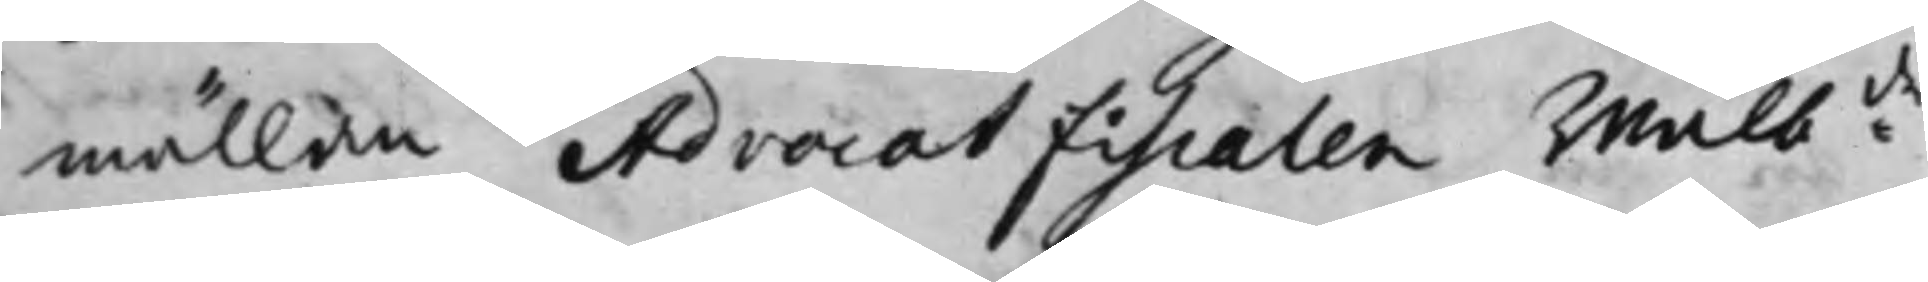mällan Advocat Fiscalen Wälb:de
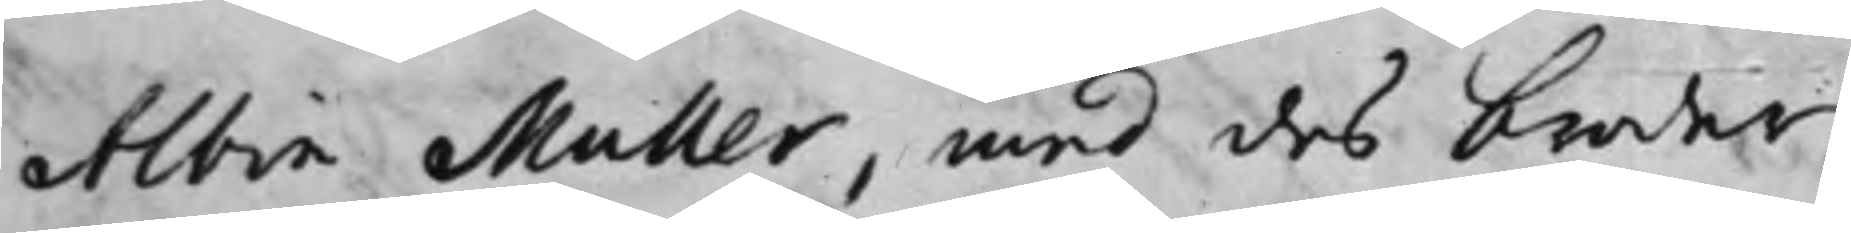Albin Muller, med des broder
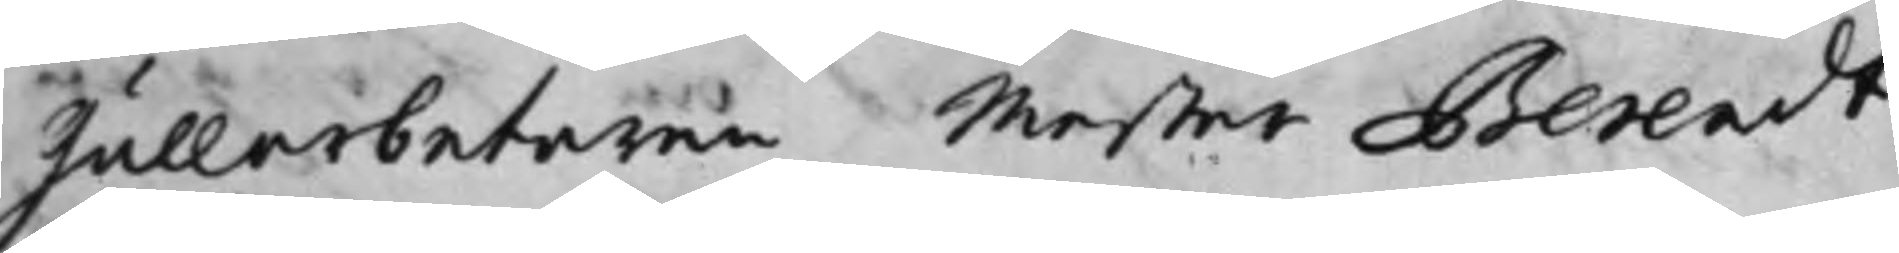Gullarbetaren Mester Berendt
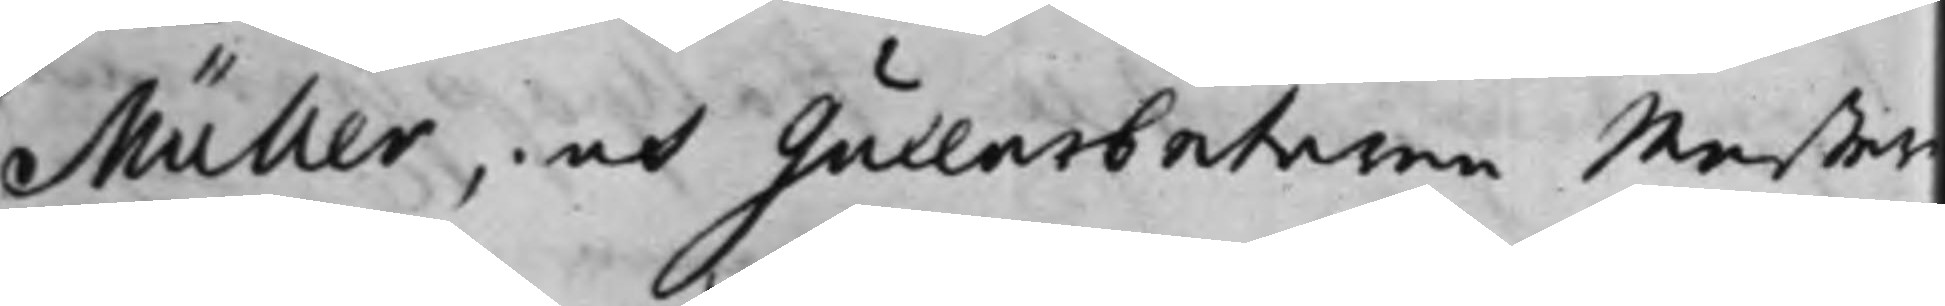Müller, och Gullarbetaren Mester
